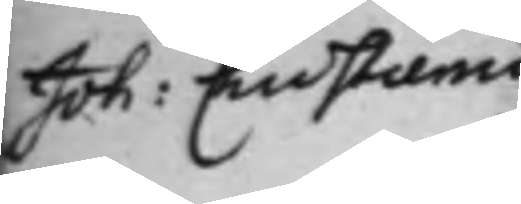Joh: Christiernin
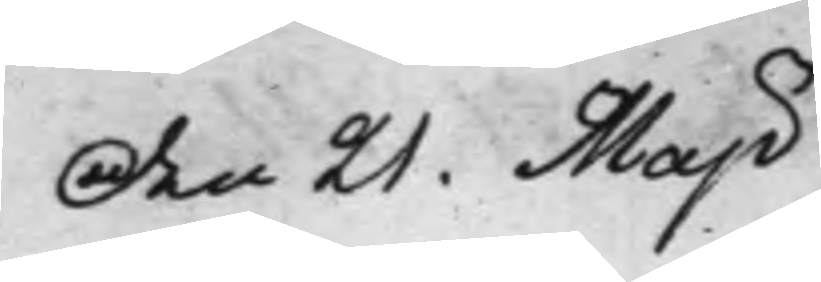Den 21. Maji
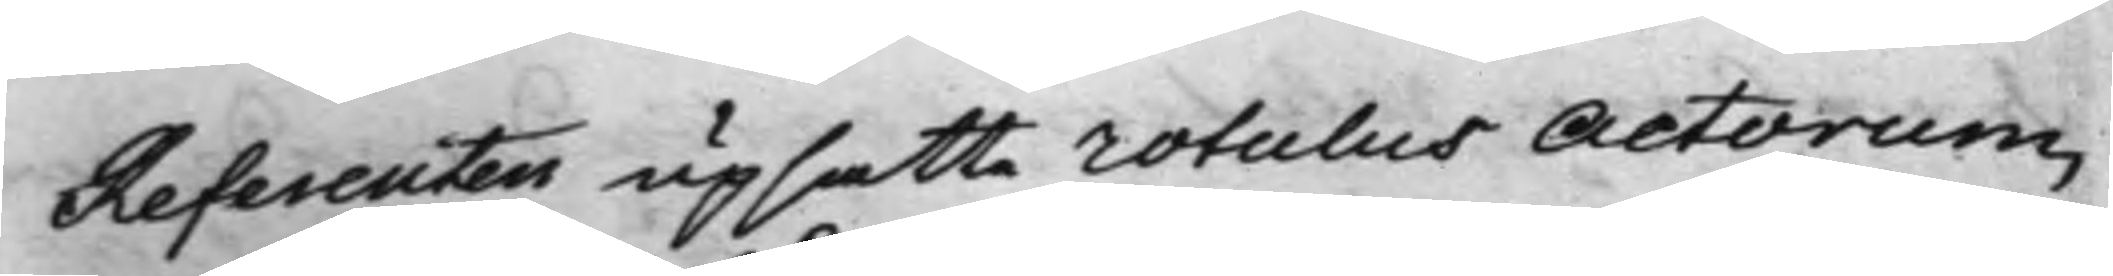Referenten upsatte rotulus Actorum,
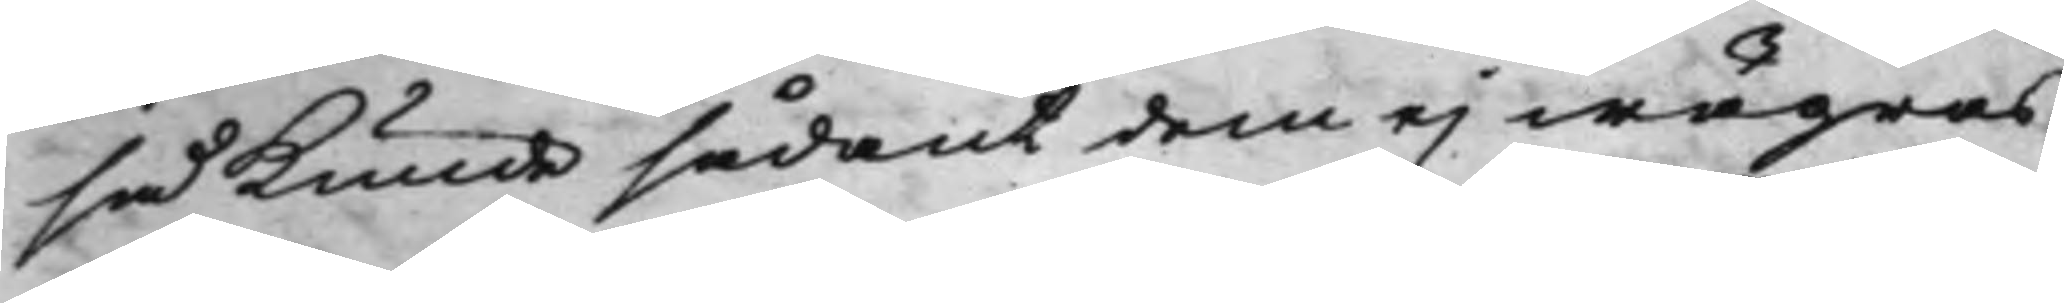så kunde sådant dem ej wägras,
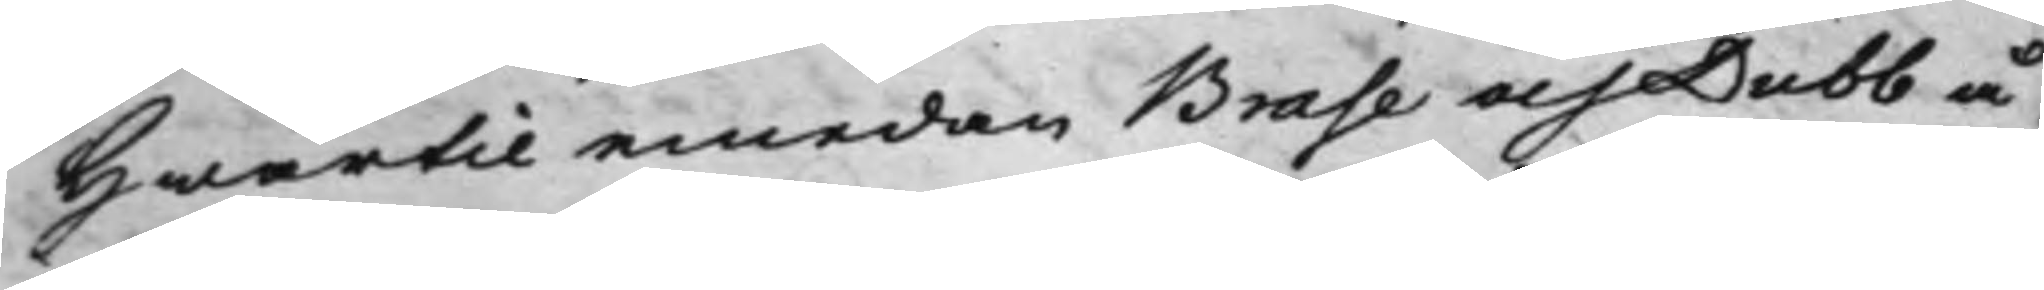Hwartil emedan Brase och Dubb å¬
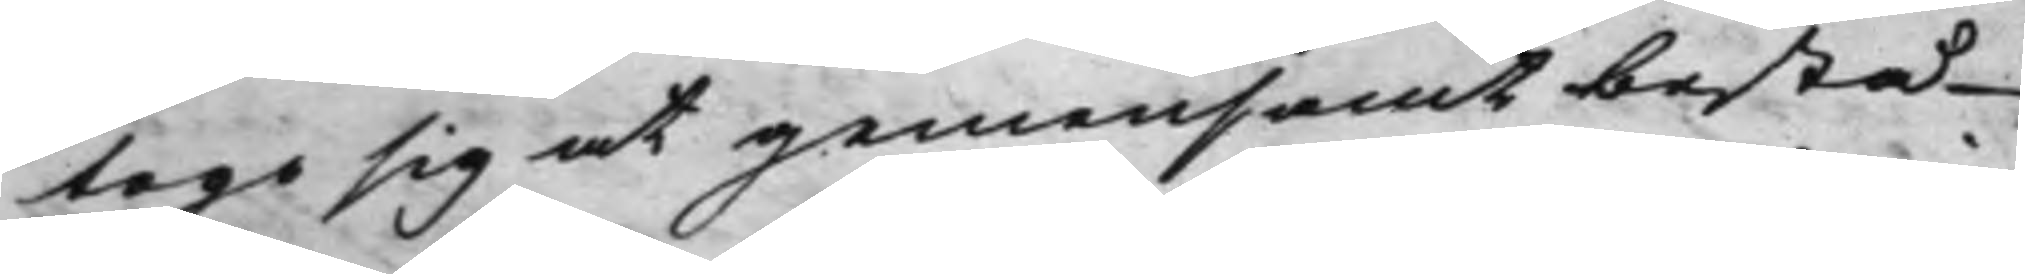togo sig at gemensamt bestå
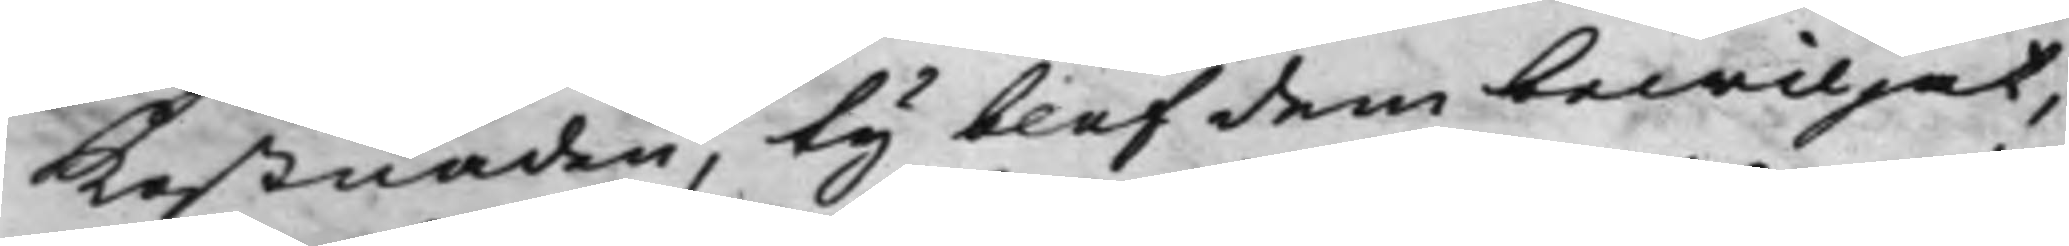Kostnaden, ty blef dem bewiljat,
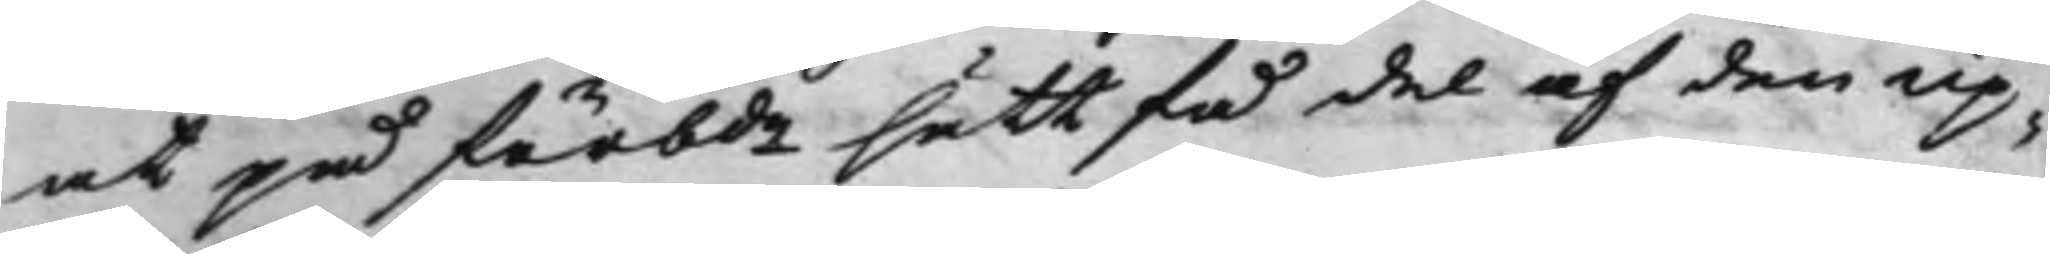at på förbde sätt få del af den up¬
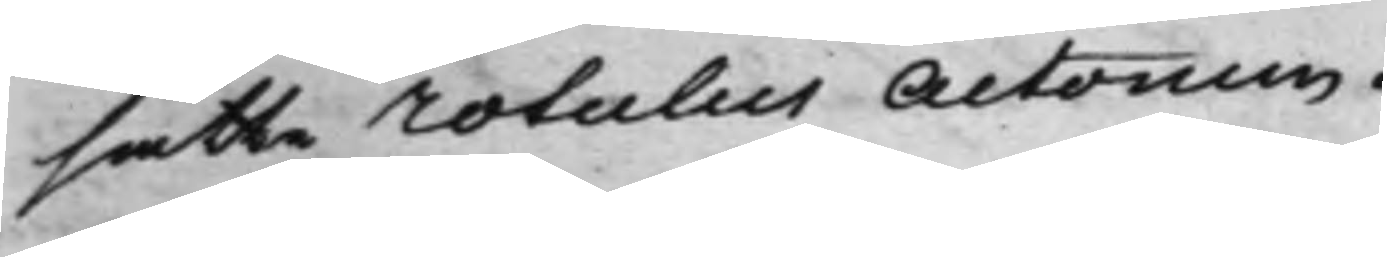satte rotulus Actorum.
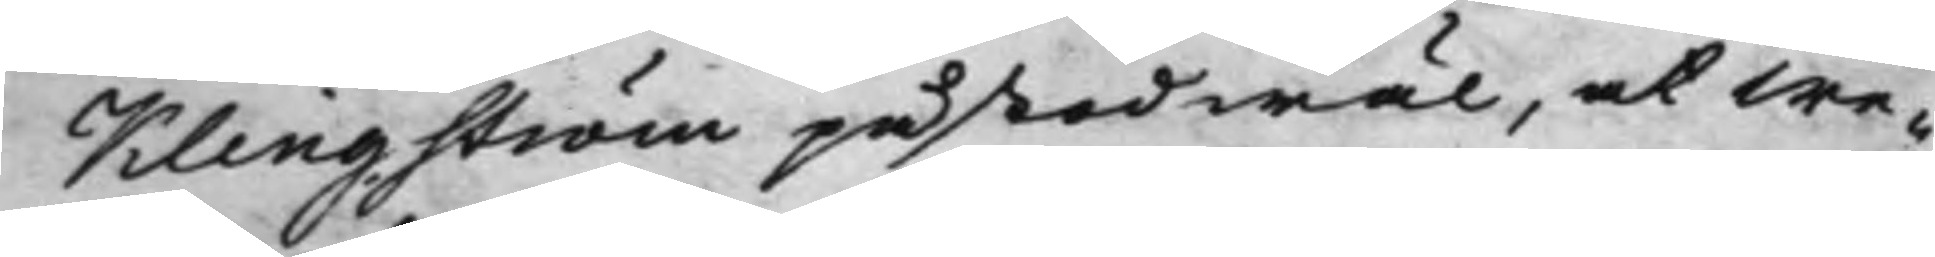Klingström påstod wäl, at we¬
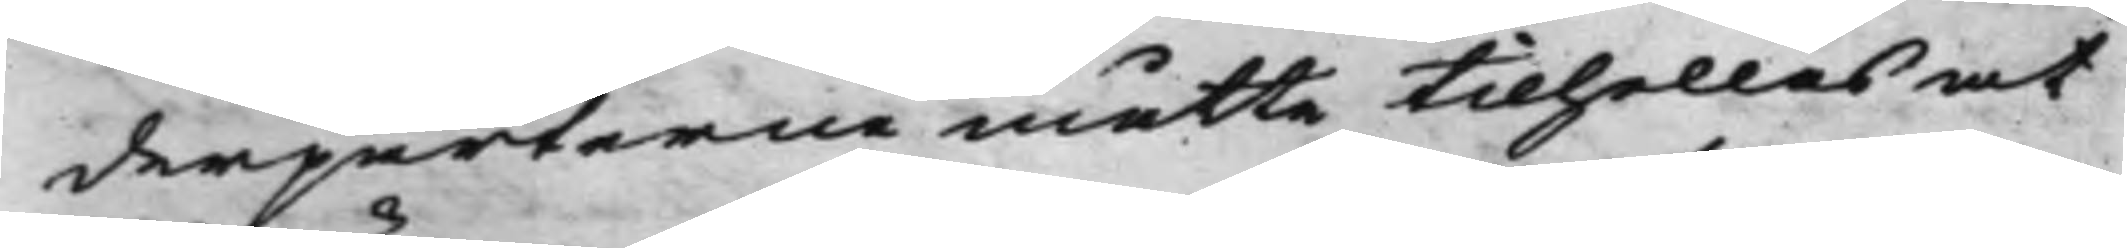derparterne måtte tilhollas at
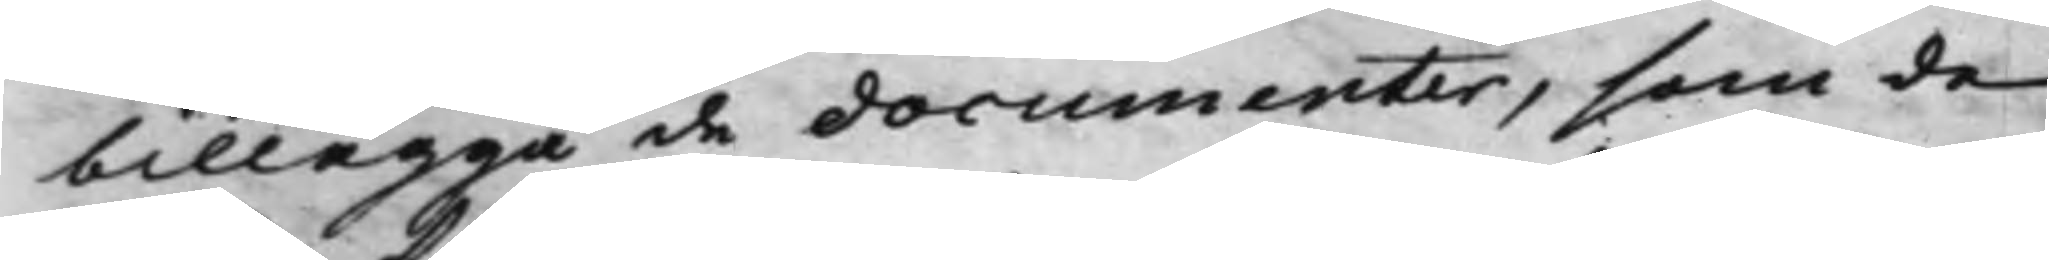billägga de documenter, som de
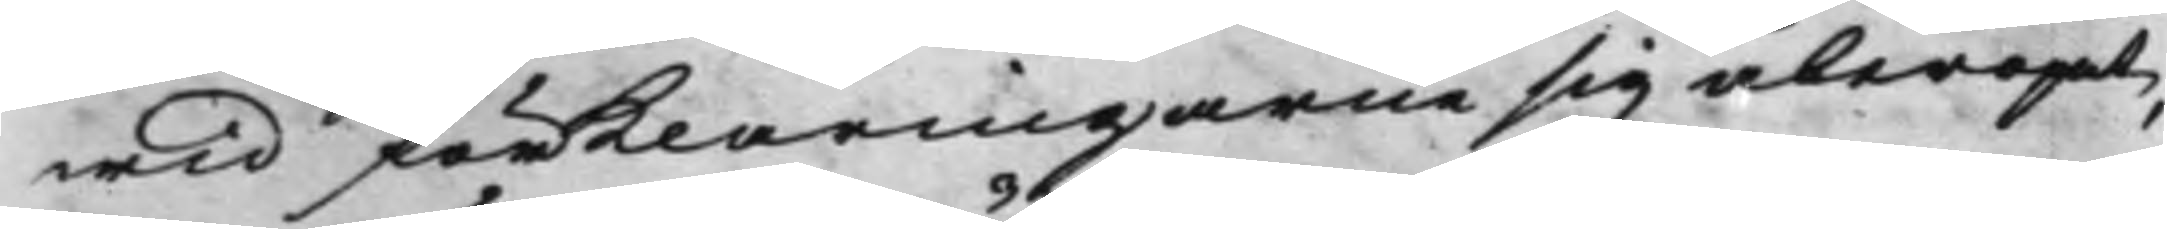wid förklaringarne sig åberopat,
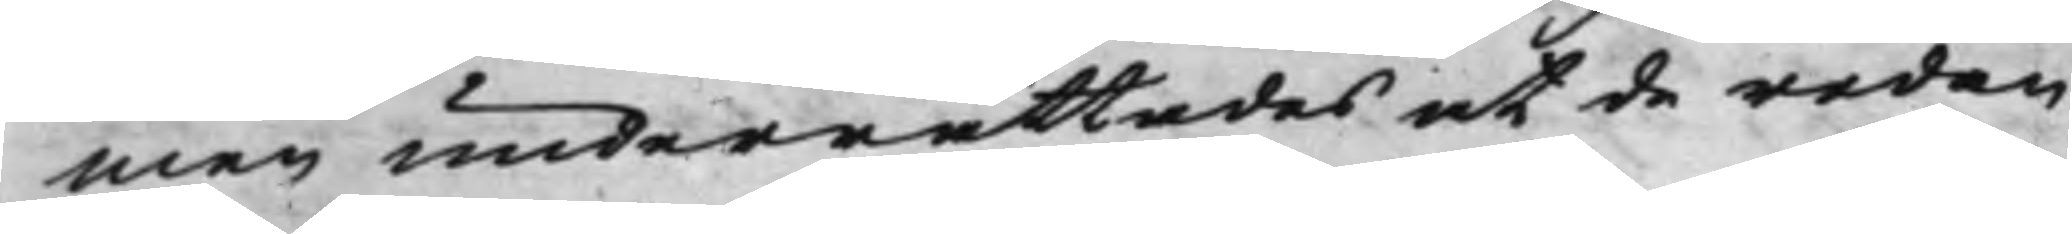men underrättades at de redan
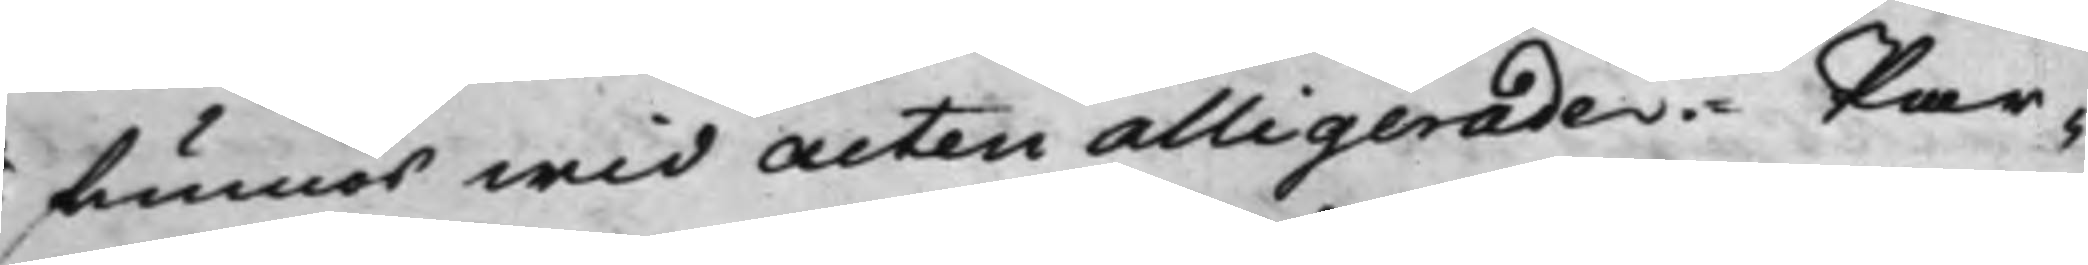funnes wid Acten alligerade. Par¬
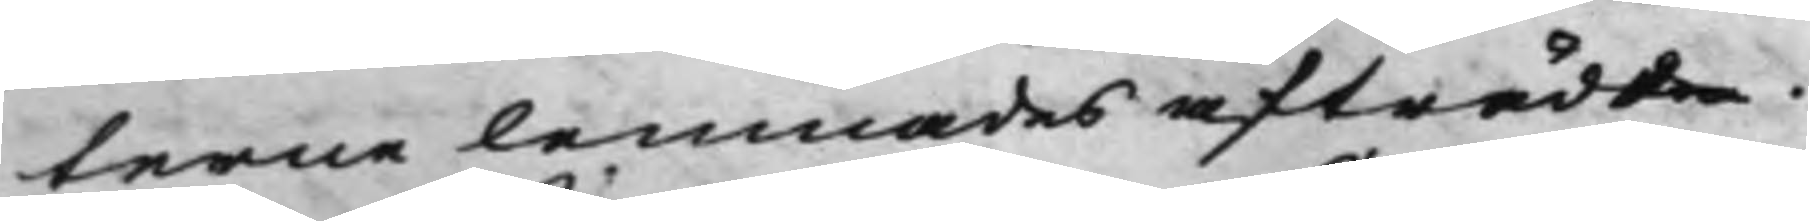terne lemnades afträda.
